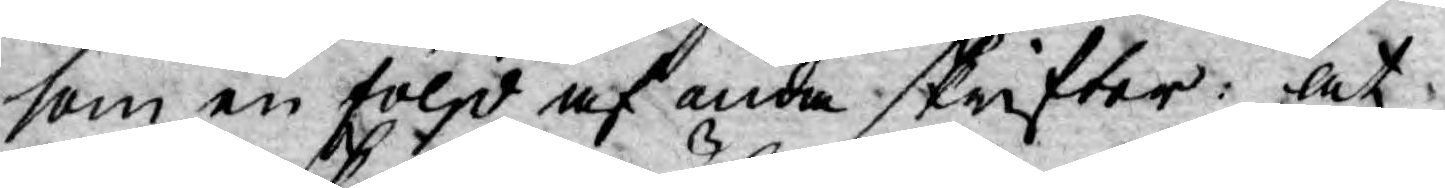som en följd af onda skrifter: at
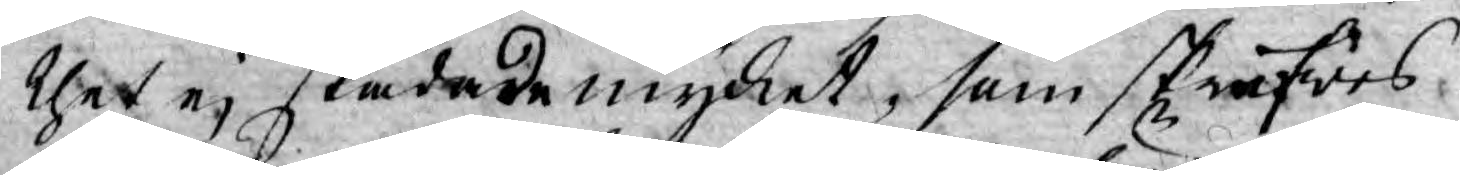thet ej skadade mycket, som skrifwes
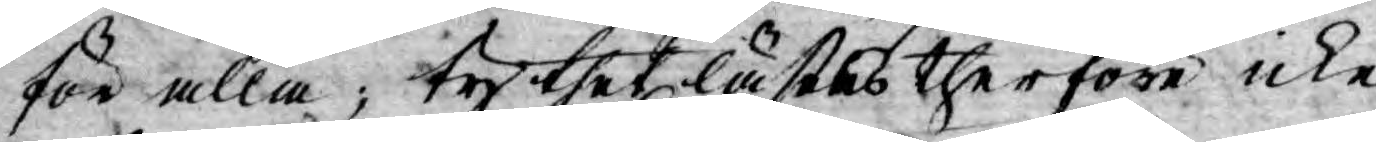för alla; ty thet lästes therföre icke
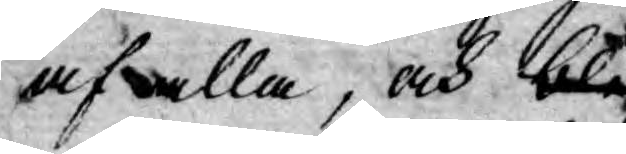af alla, och blef
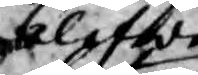blefwe
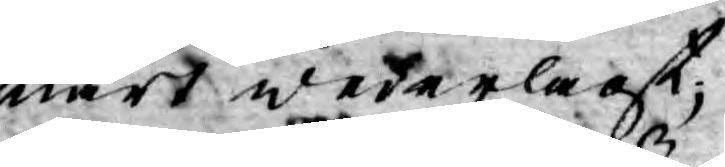snart wederlagt;
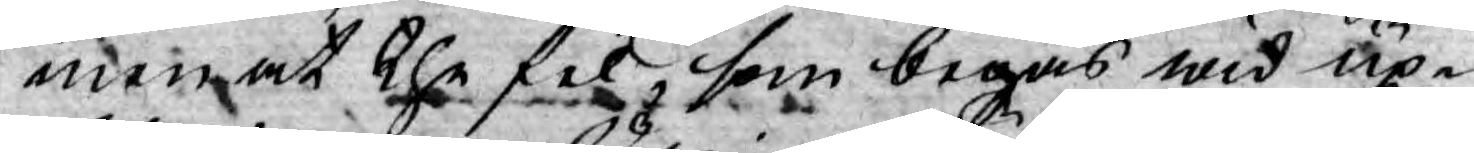men at the fel, som begås wid up¬
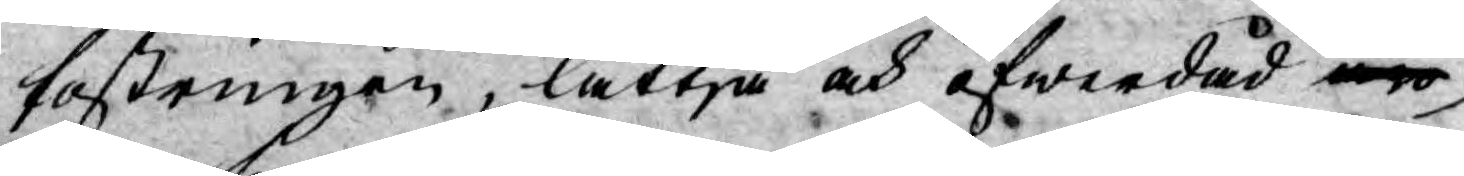fostringen, lättja och öfwerdåd äro
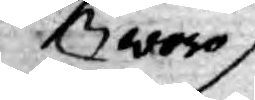woro
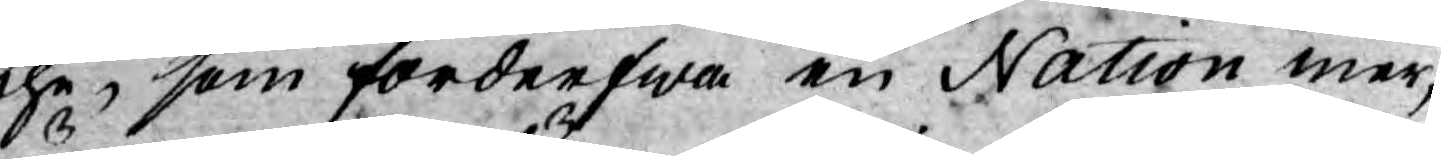the, som förderfwa en Nation mer,
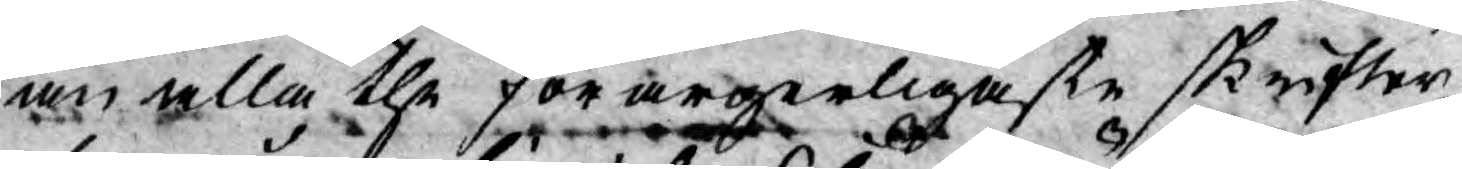än alla the förargerligaste skrifter
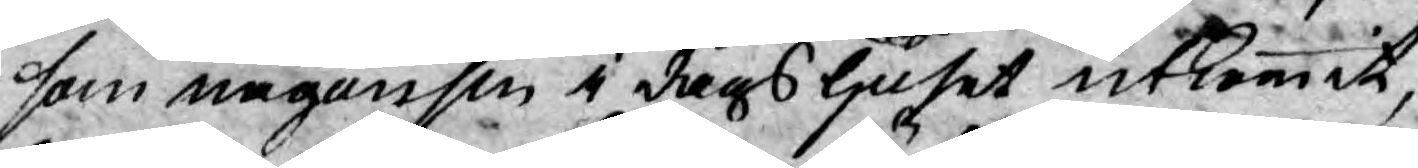som någonsin i dagsljuset utkommit,
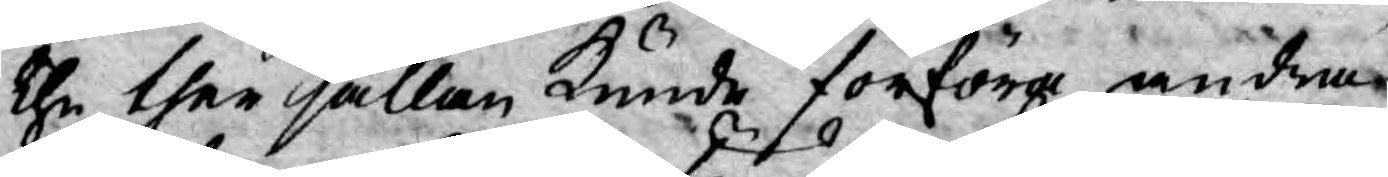the ther sällan kunde förföra andra
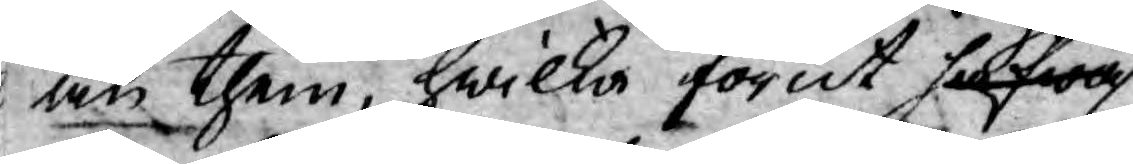än them, hwilka förut sielfwa
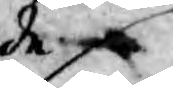hade
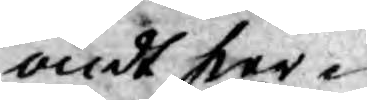ondt hier¬
